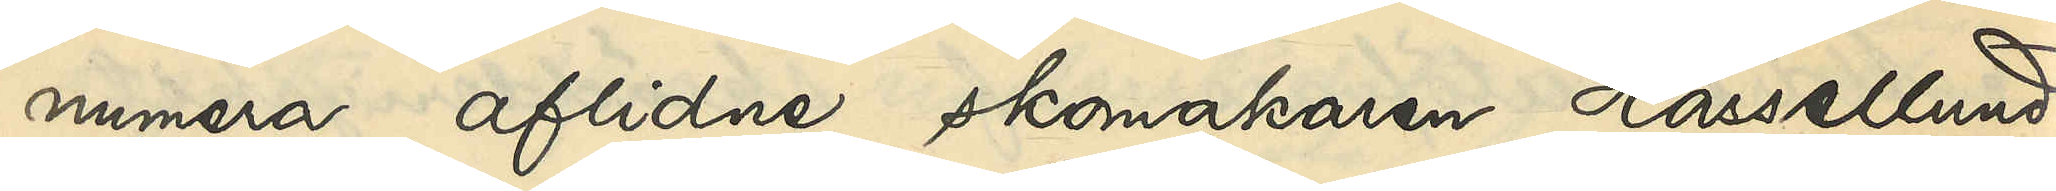numera aflidne skomakaren Hassellund
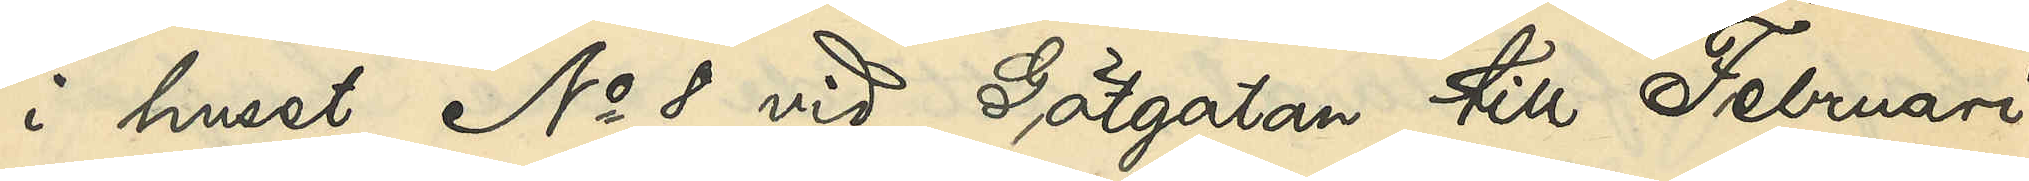i huset No 8 vid Götgatan till Februari
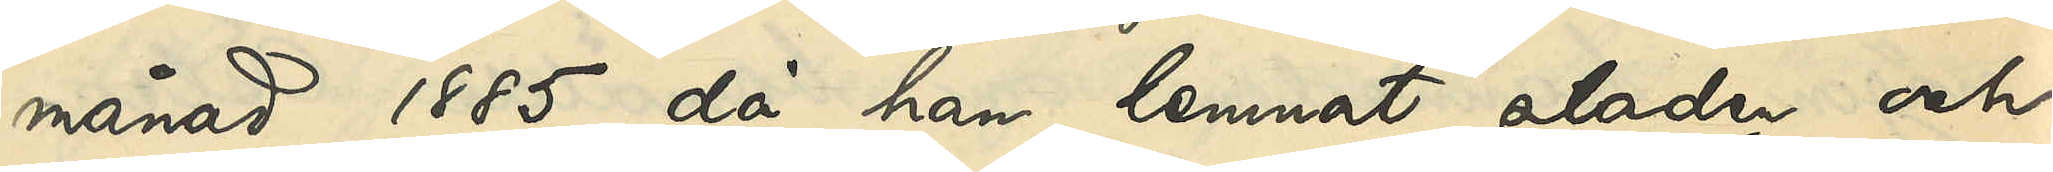månad 1885, då han lemnat staden och
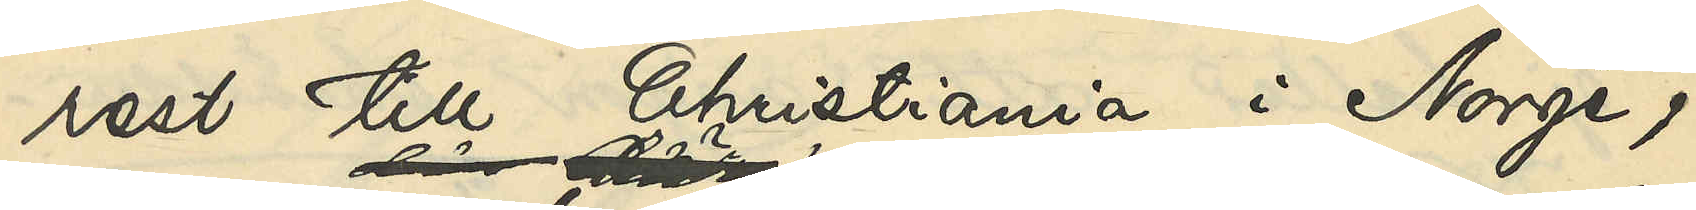rest till Christiania i Norge;
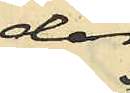där
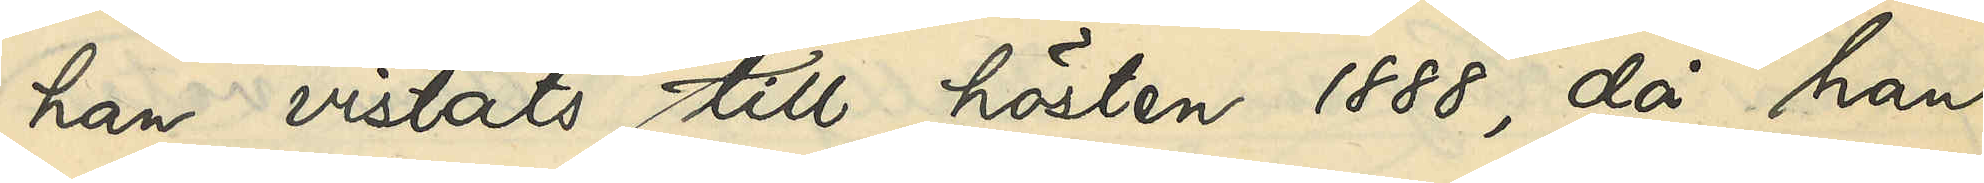han vistats till hösten 1888, då han
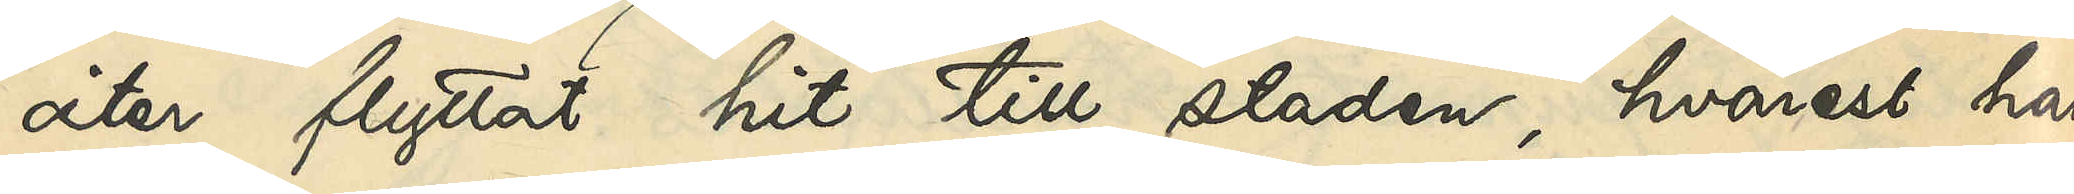åter flyttat hit till staden, hvarest han
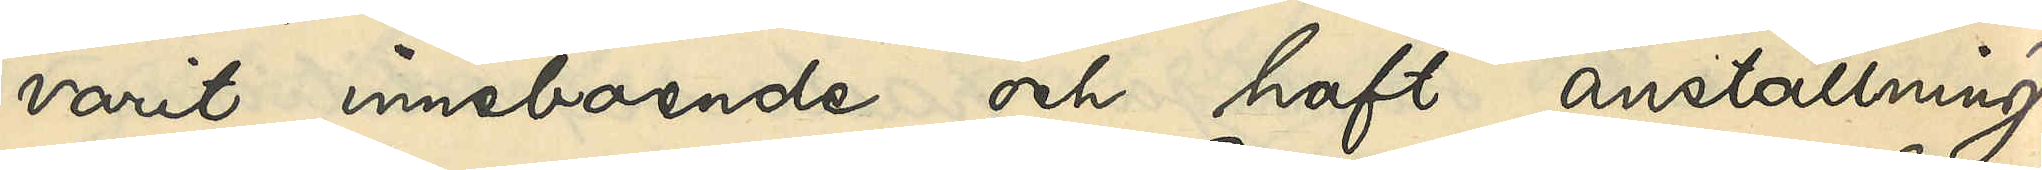varit inneboende och haft anställning
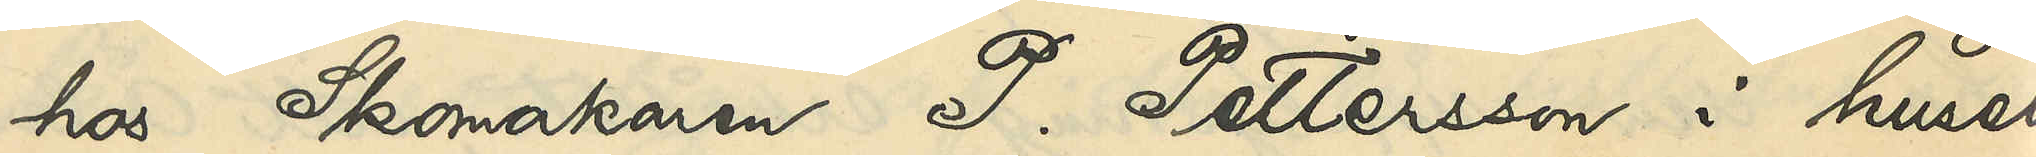hos Skomakaren P. Pettersson i huset
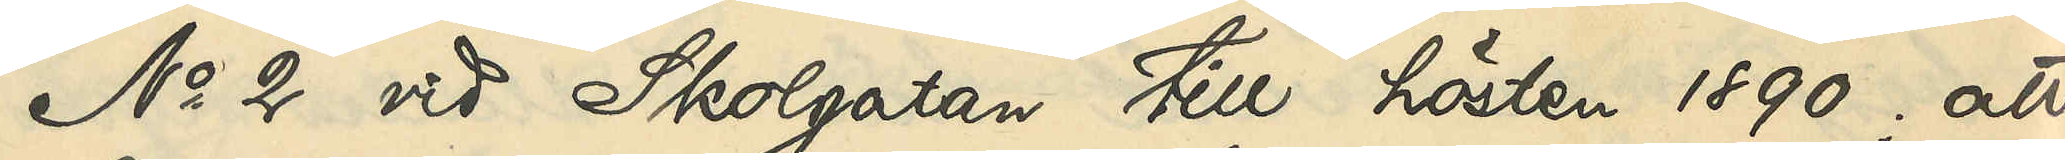No 2 vid Skolgatan till hösten 1890; att
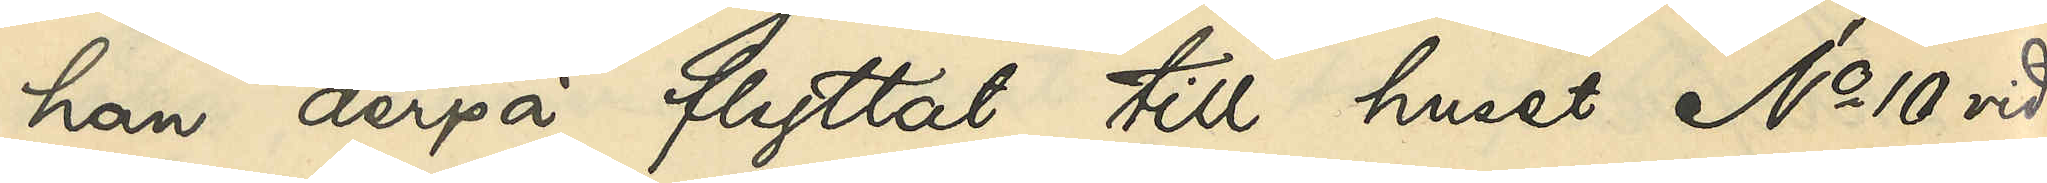han derpå flyttat till huset No 10 vid
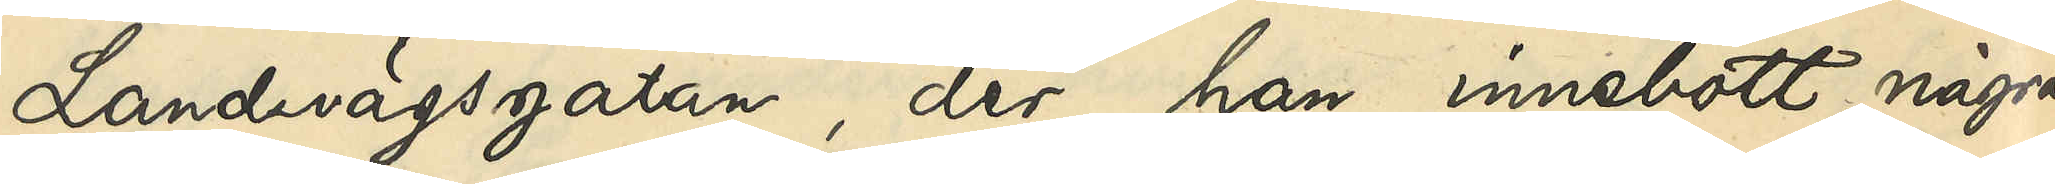Landsvägsgatan, der han innebott några
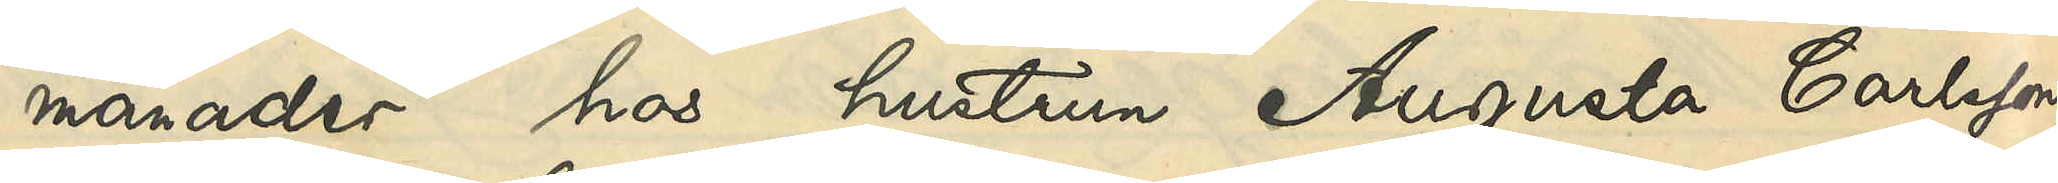månader hos hustrun Augusta Carlsson,
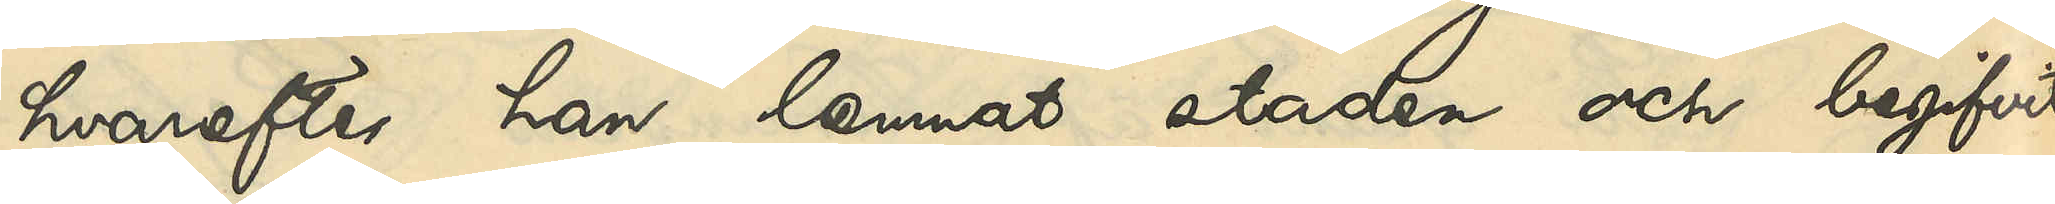hvarefter han lemnat staden och begifvit
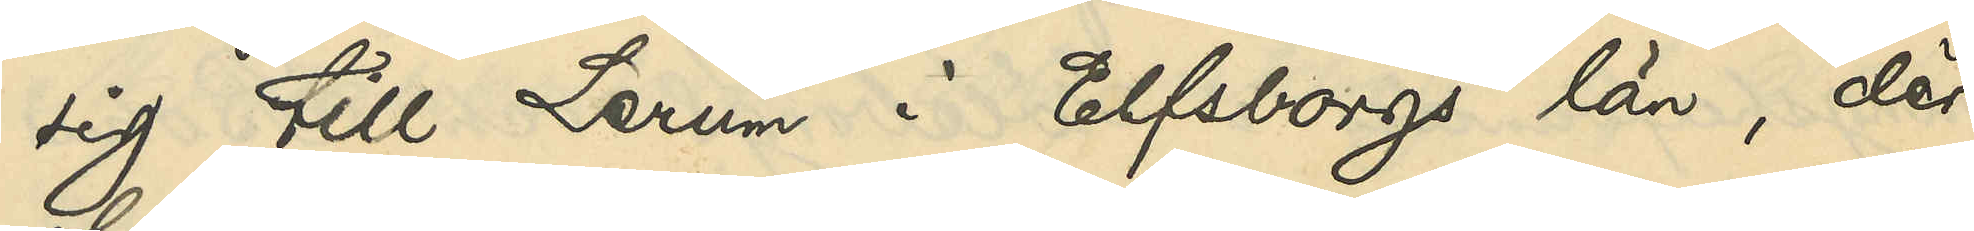sig till Lerum i Elfsborgs län, der
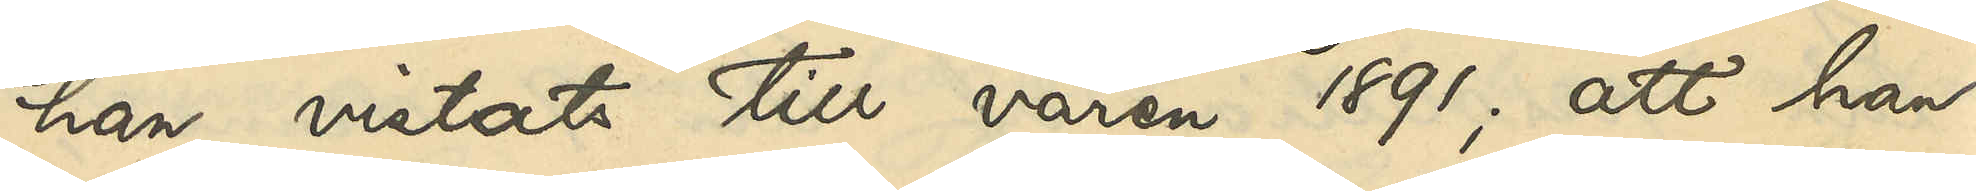han vistats till våren 1891; att han
